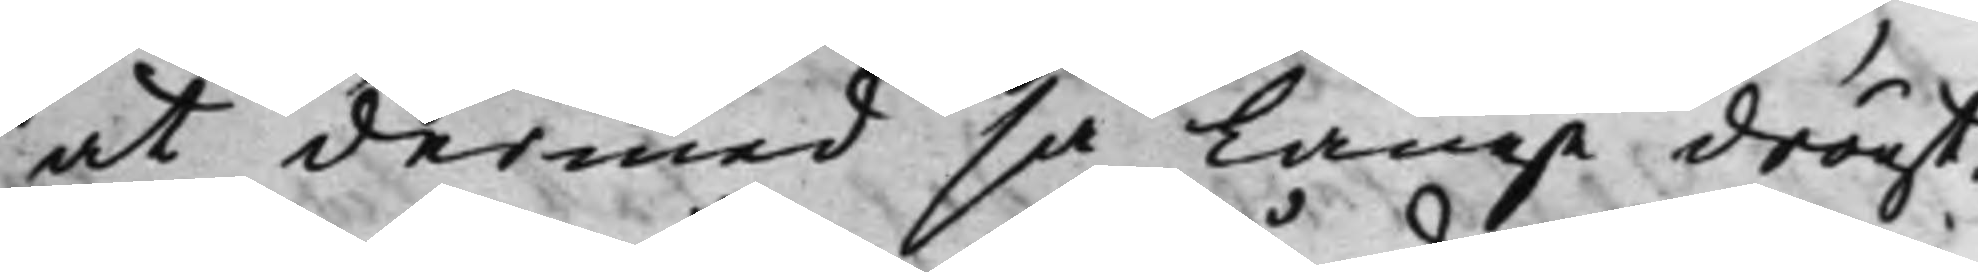at dermed så länge dröijt.
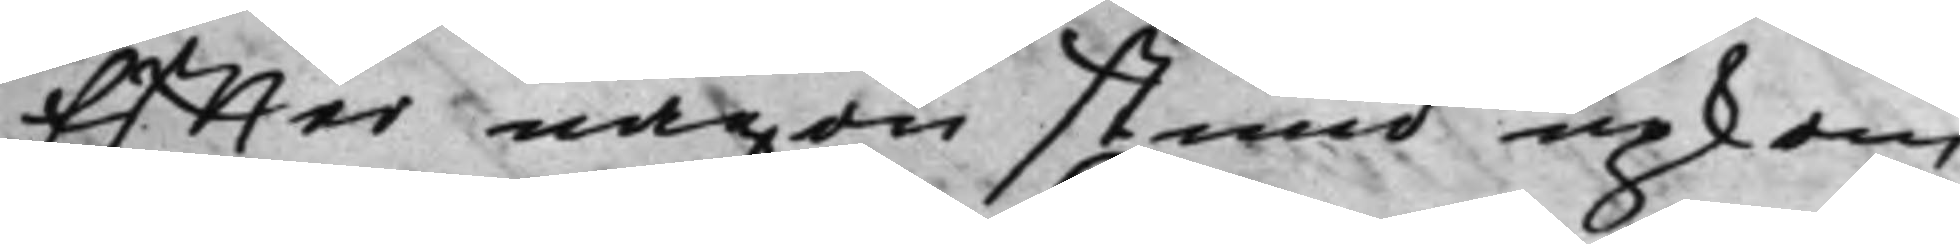Effter någon stund upkom
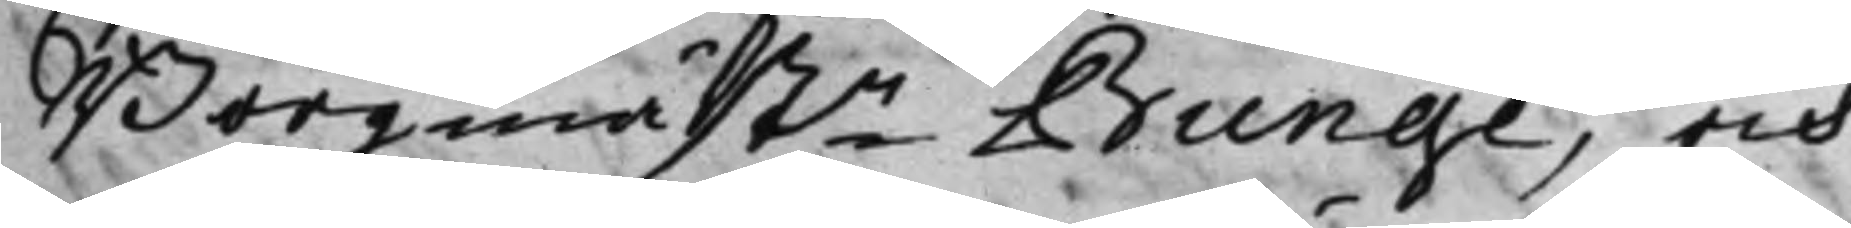Borgmästn Bunge, och
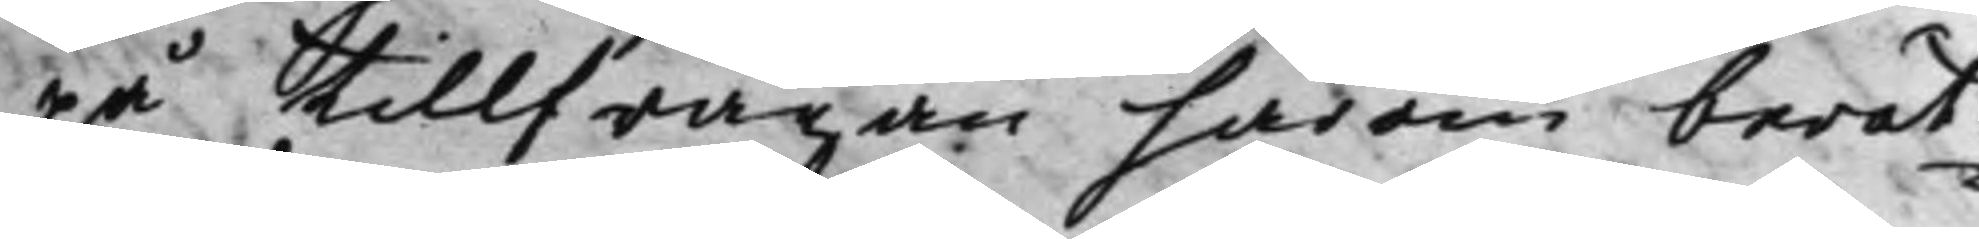på tillfrågan härom berät¬
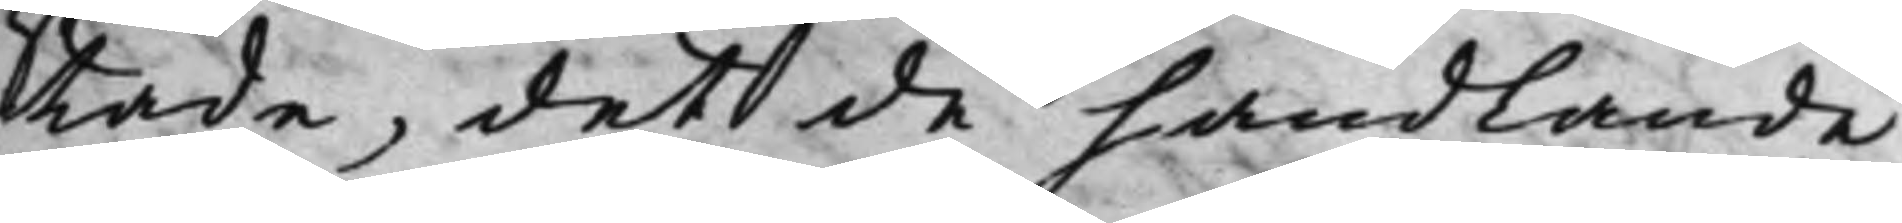tade, det de handlande
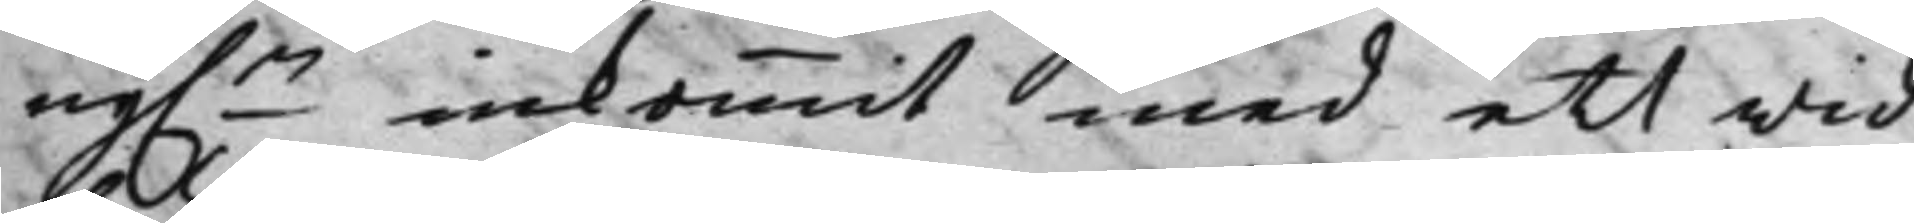ny.n inkommit med ett wid¬
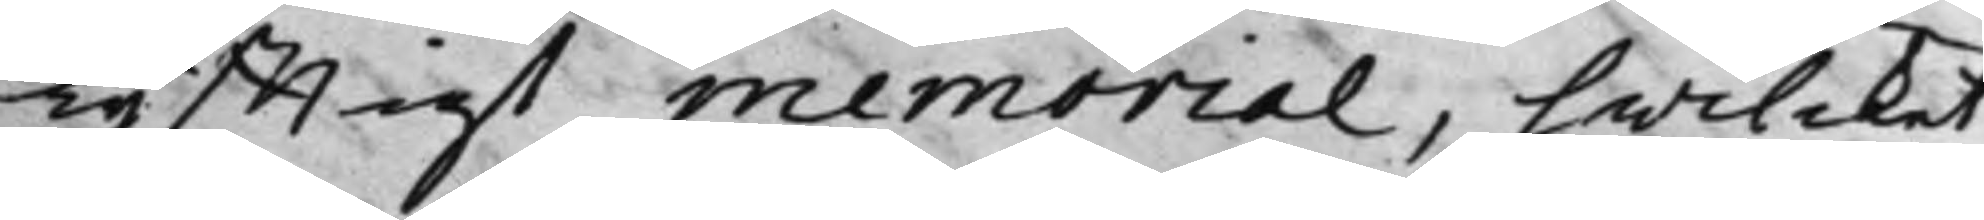lyfftigt memorial, hwilcket
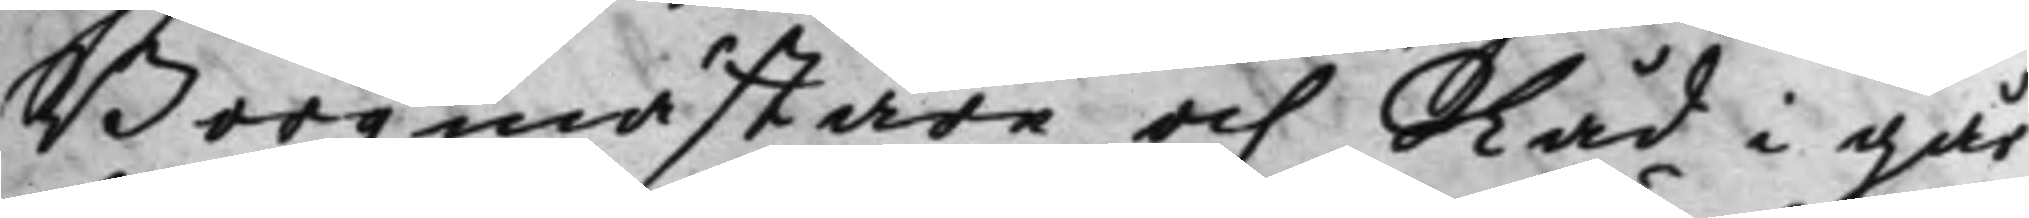Borgmästare och Råd i går
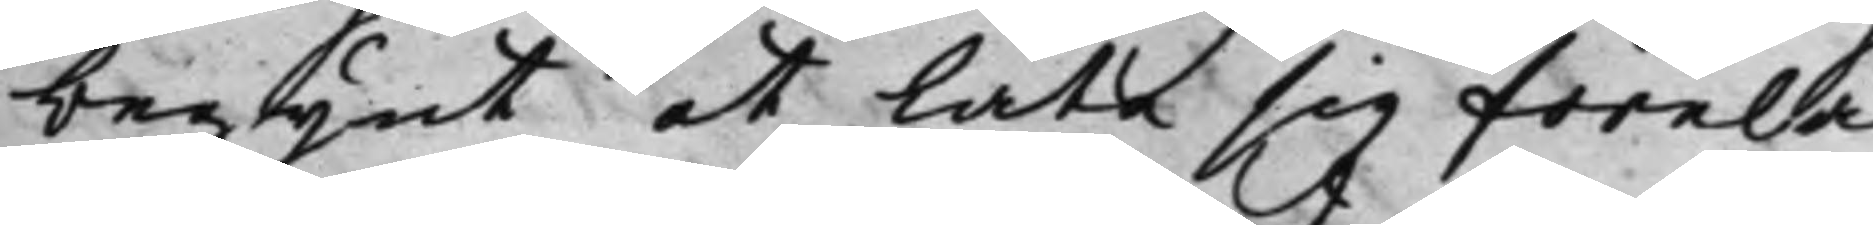begynt at låta sig förelä¬
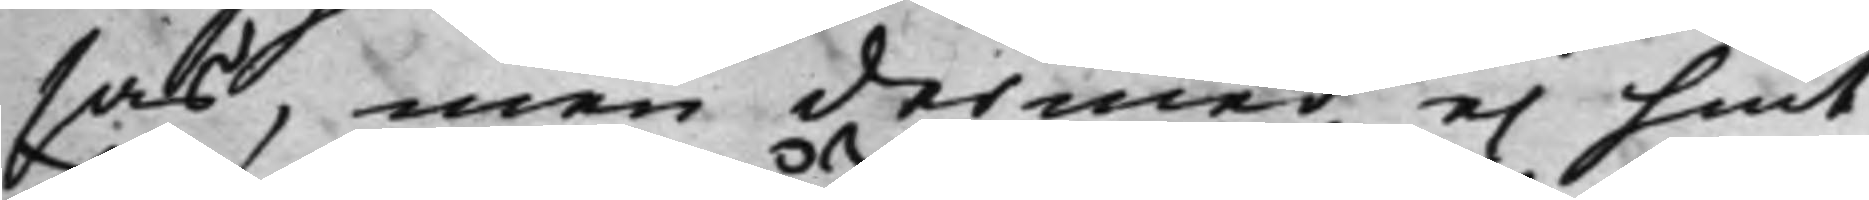sas, men dermed ei hint
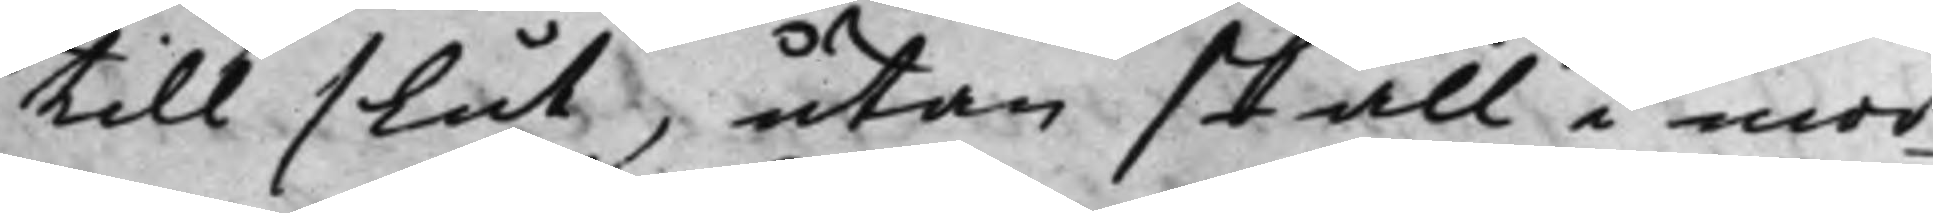till slut, utan skall i mor¬
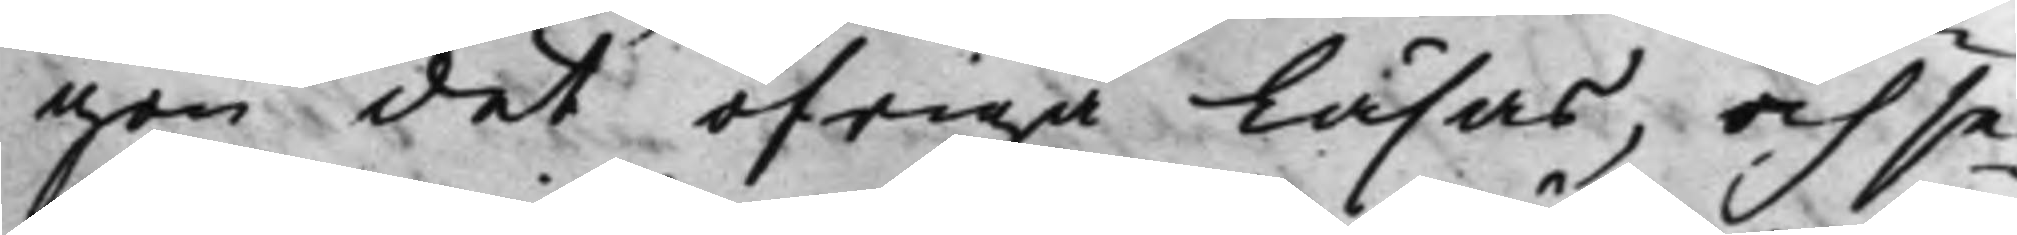gon det öfriga läsas, och se¬
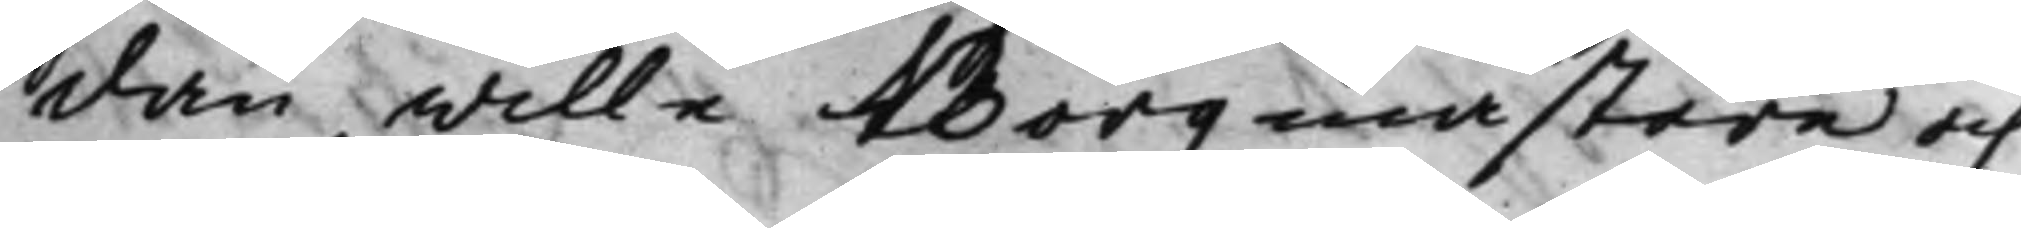dan wille Borgmästare och
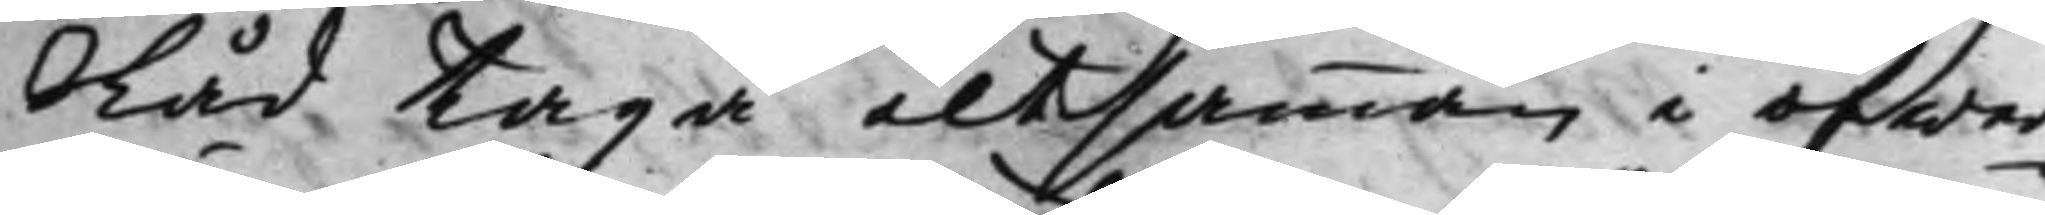Råd taga altsamman i öfwer¬
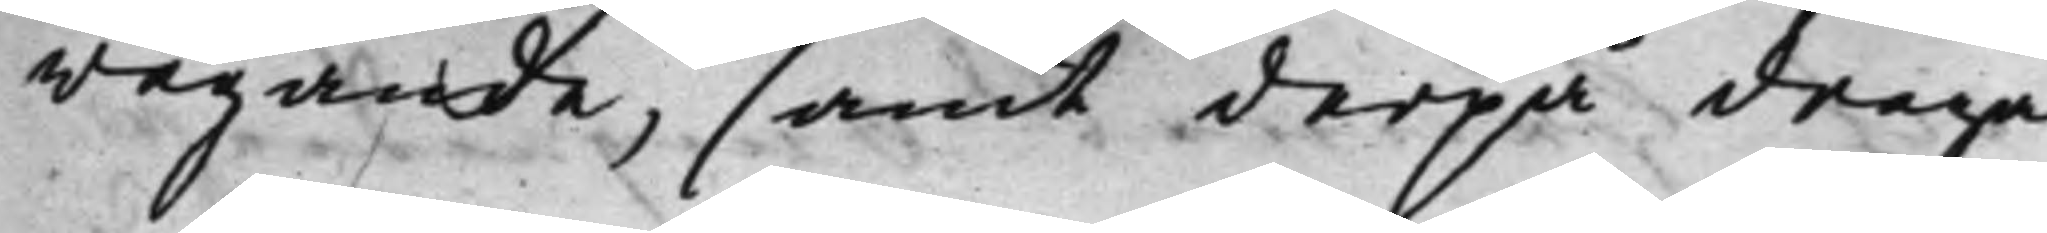wägande, samt derpå draga
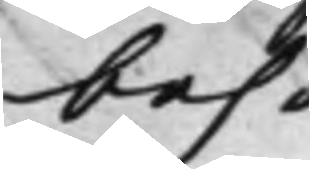behö¬
